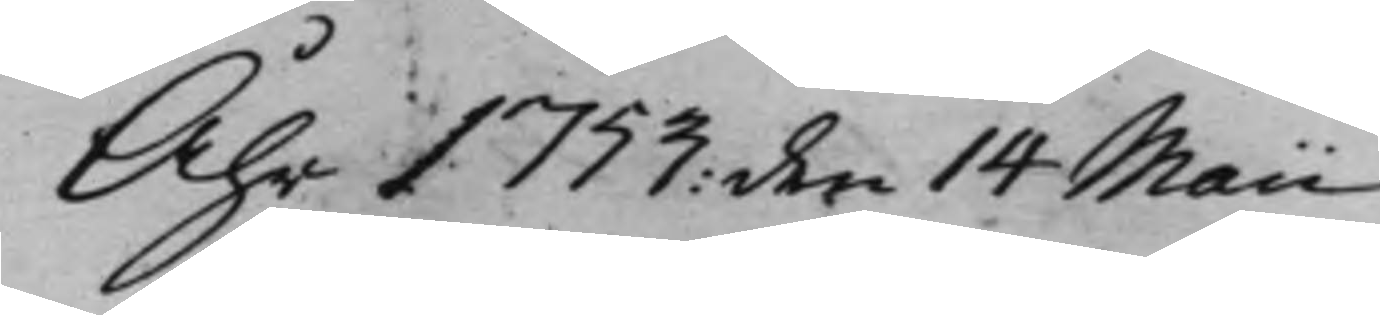Åhr 1753: den 14 Maii
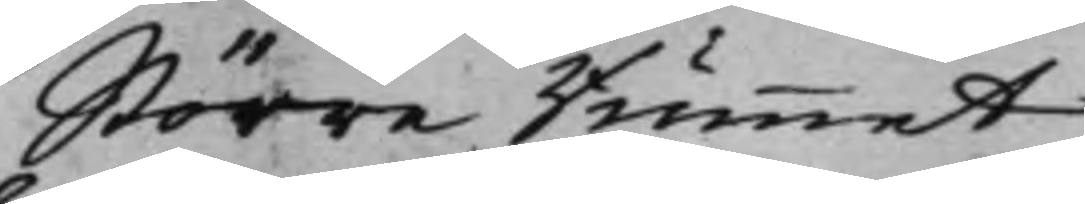Större Rummet
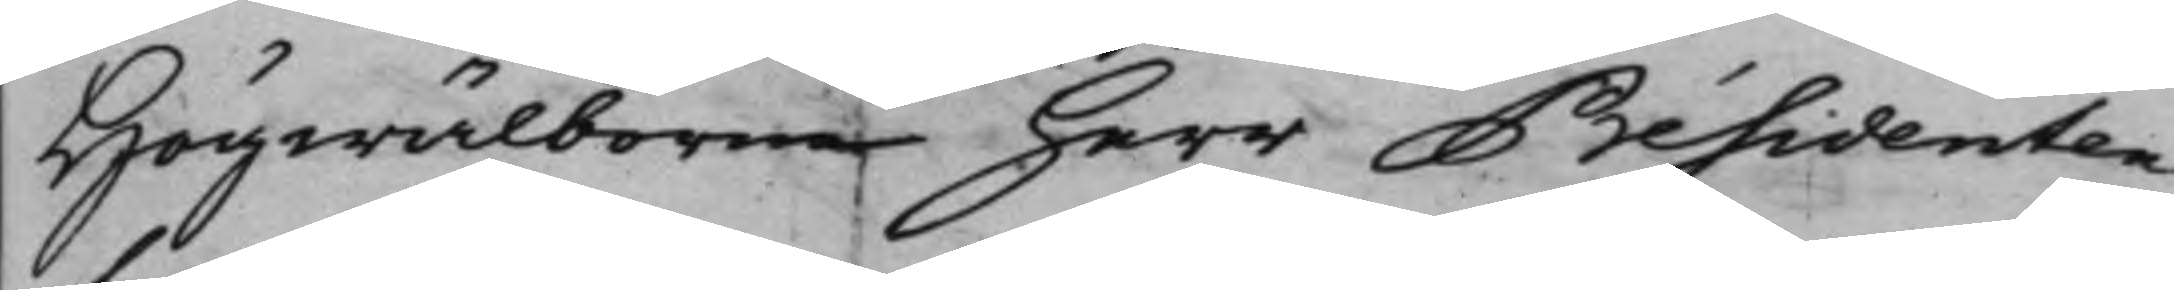Högwälborne herr Présidenten
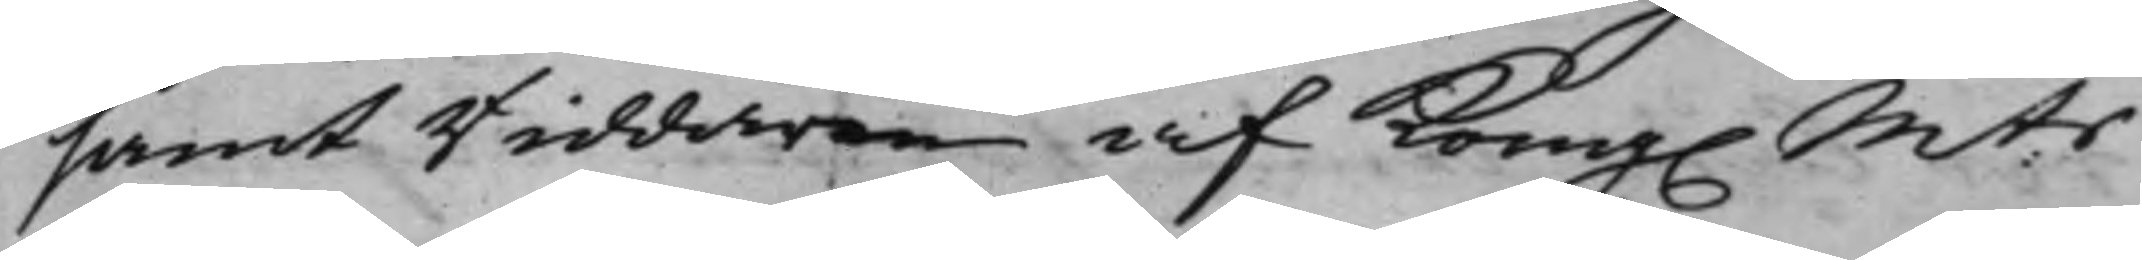samt Riddaren af Kong. M:ts
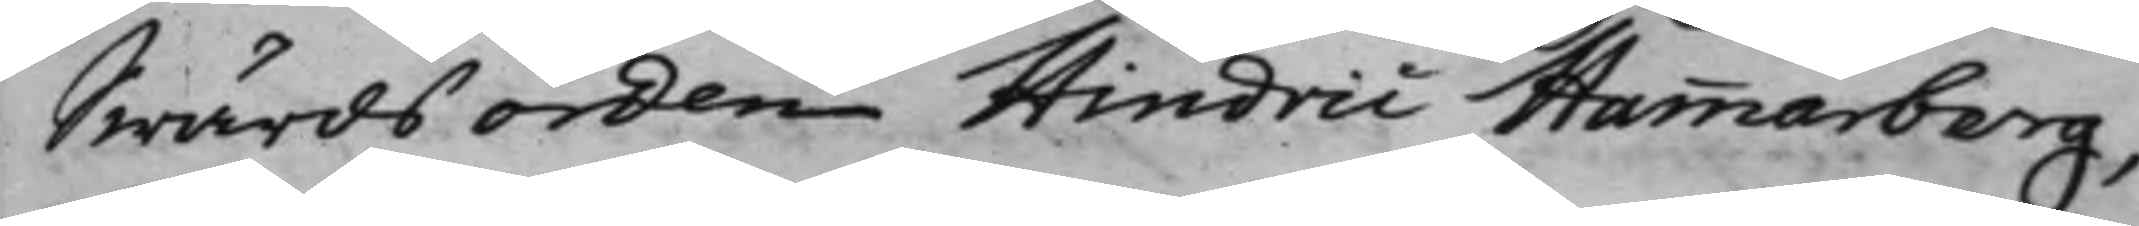Swärdsorden Hindric Hammarberg,
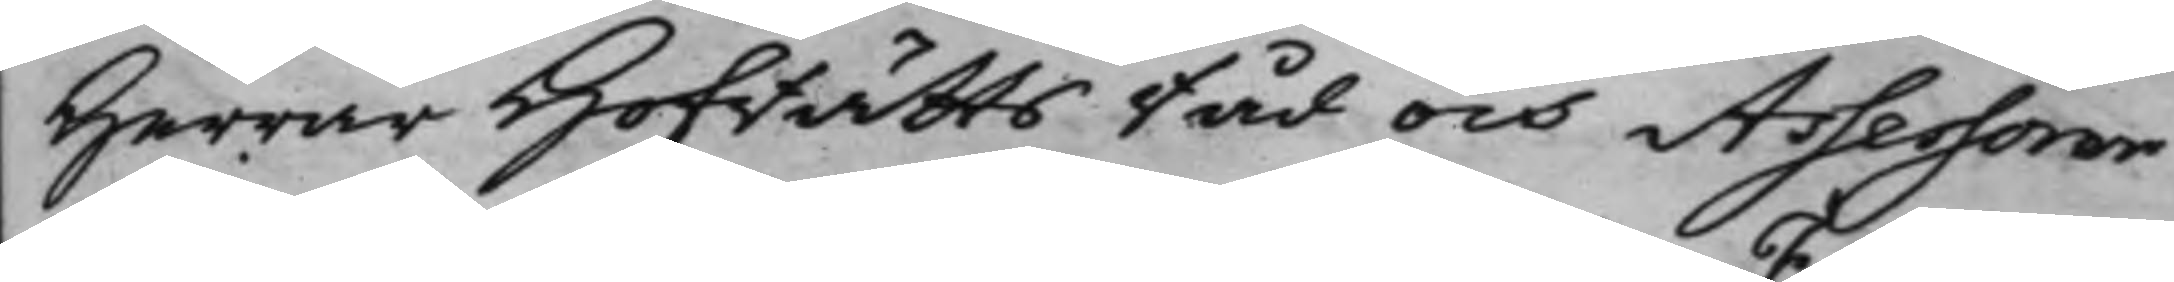Herrar Hofrättsråd och Assessorer
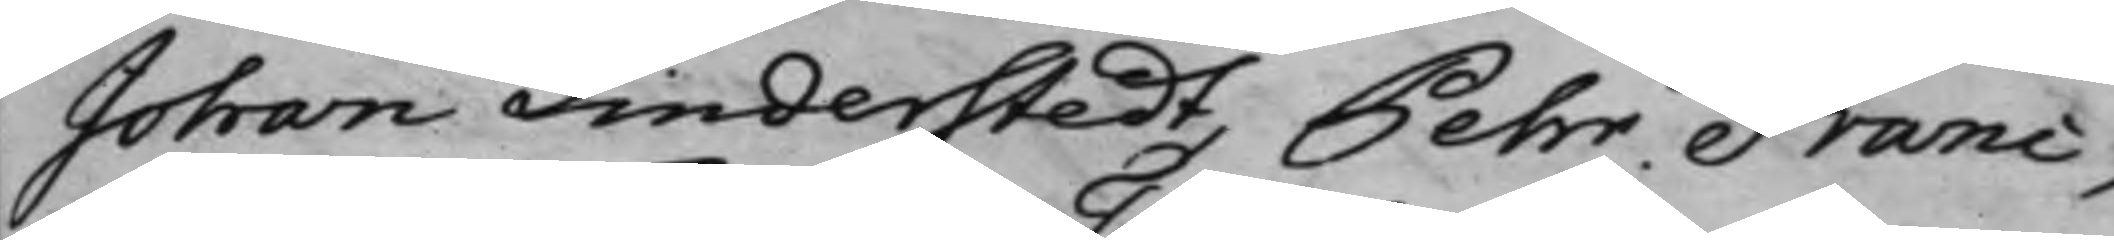Johan Linderstedt, Pehr Franc,
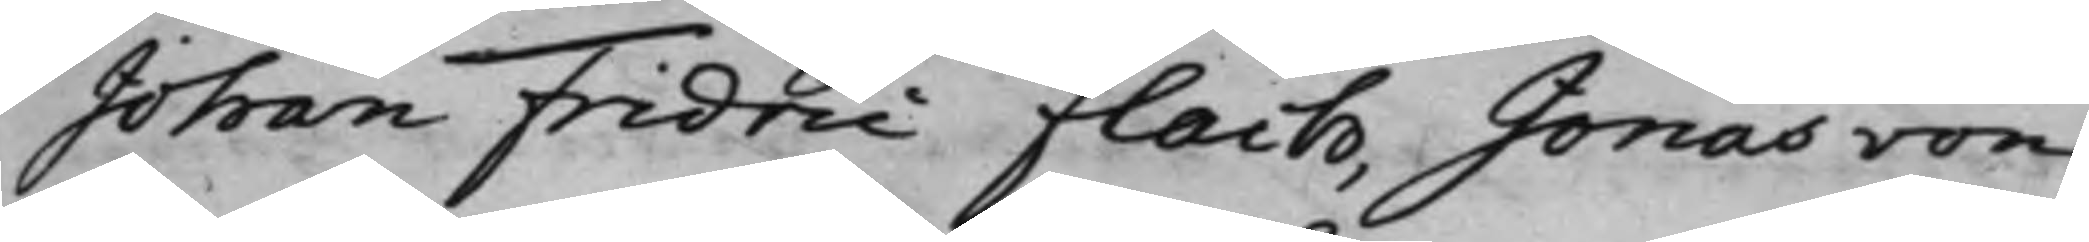Johan Fridric Flach, Jonas von
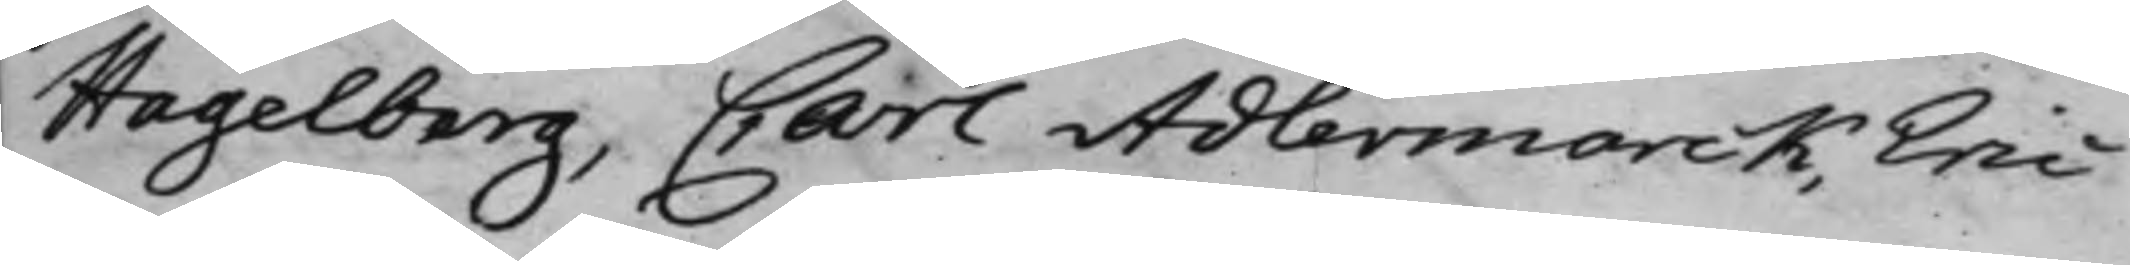Hagelberg, Carl Adlermarck, Eric
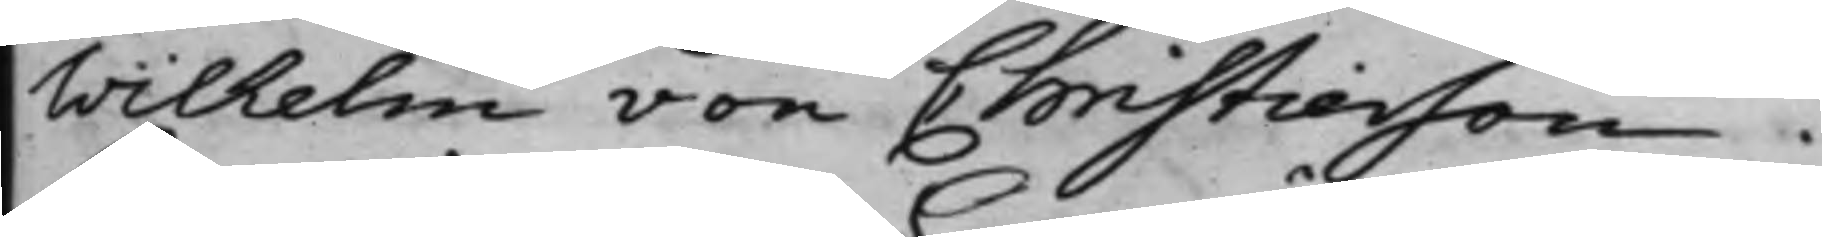Wilhelm von Christierson.
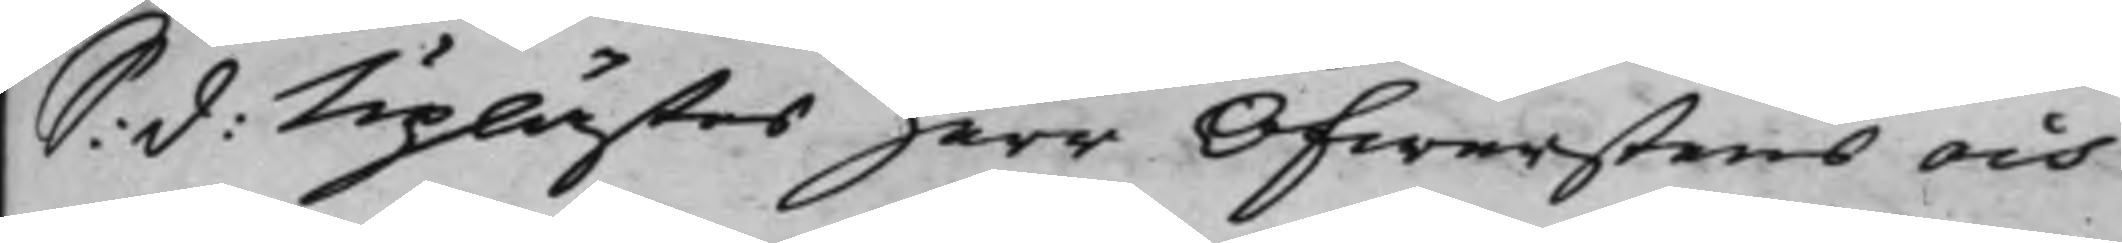S: d: Uplästes herr Öfwerstens och
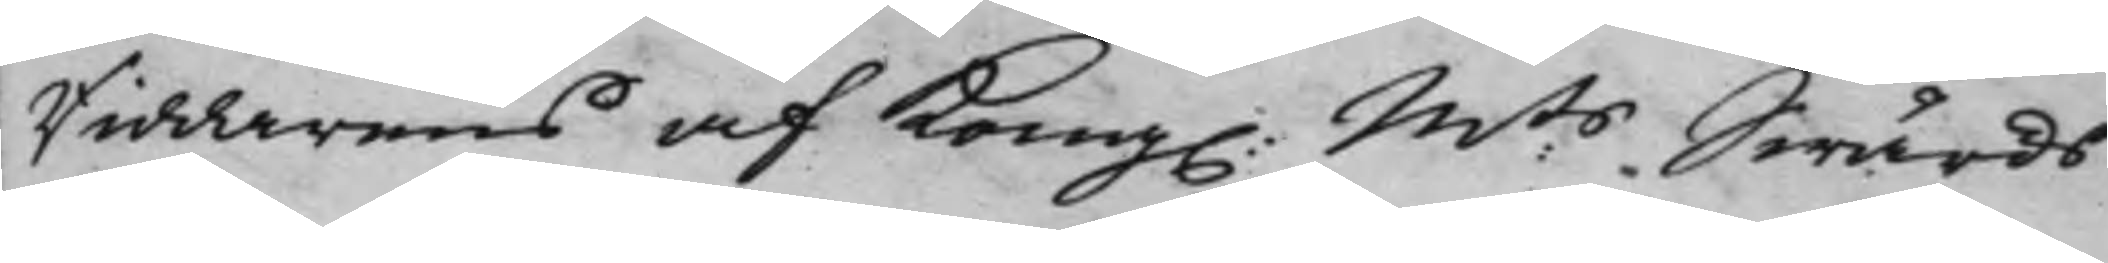Riddarens af Kong. M:ts Swärds
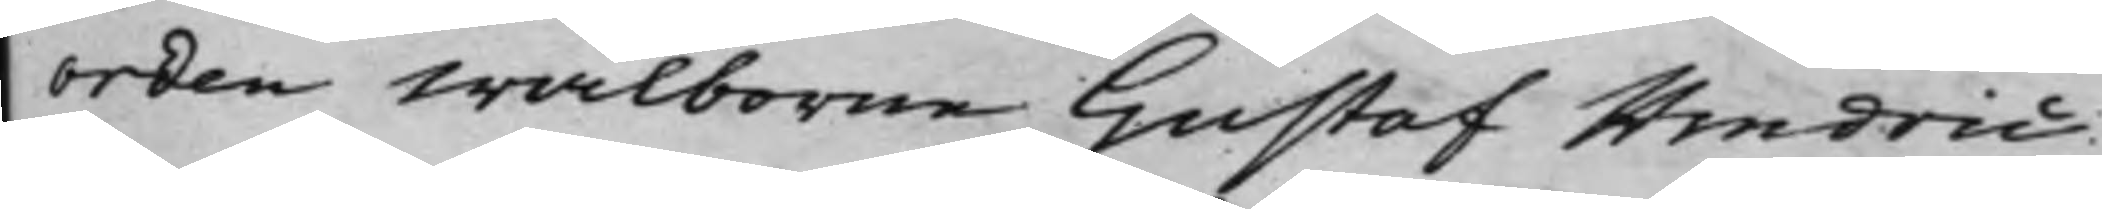Orden Wälborne Gustaf Hindric
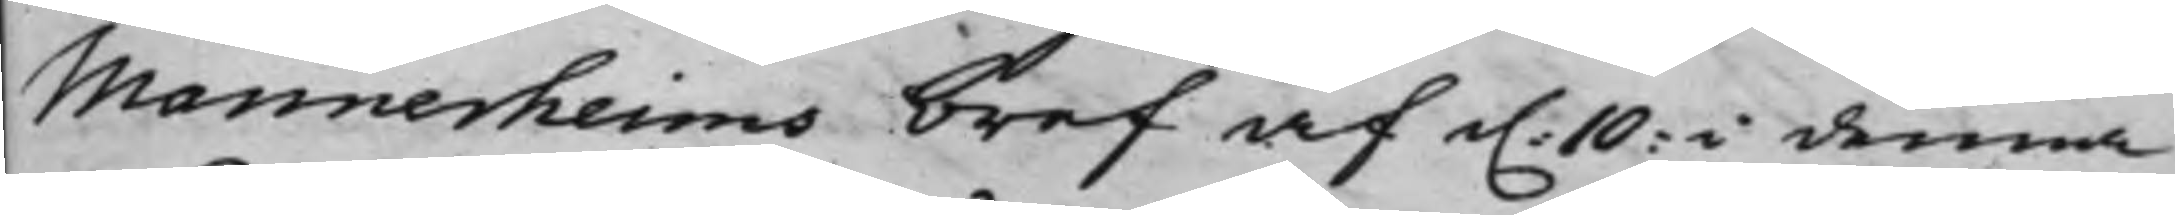Mannerheims bref af d. i denna
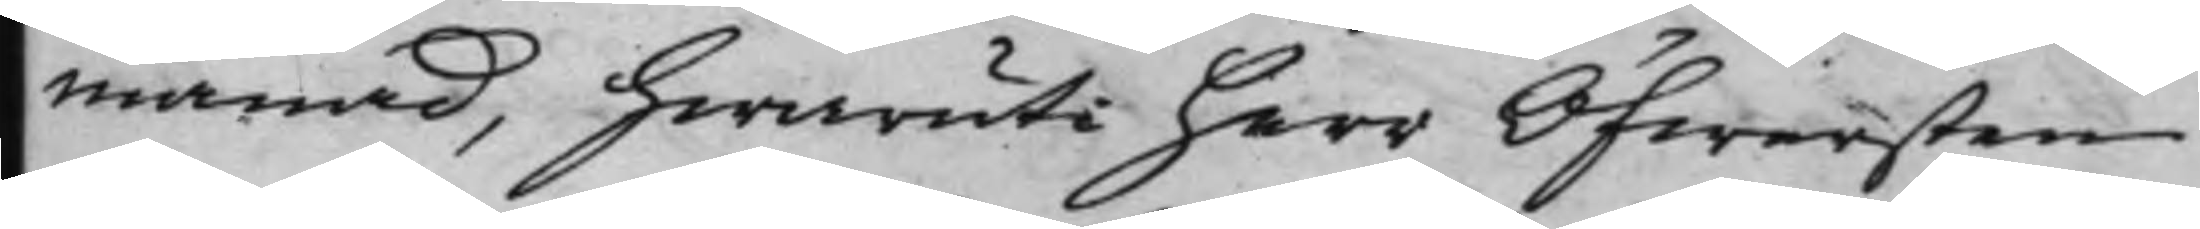Månad, hwaruti herr Öfwersten
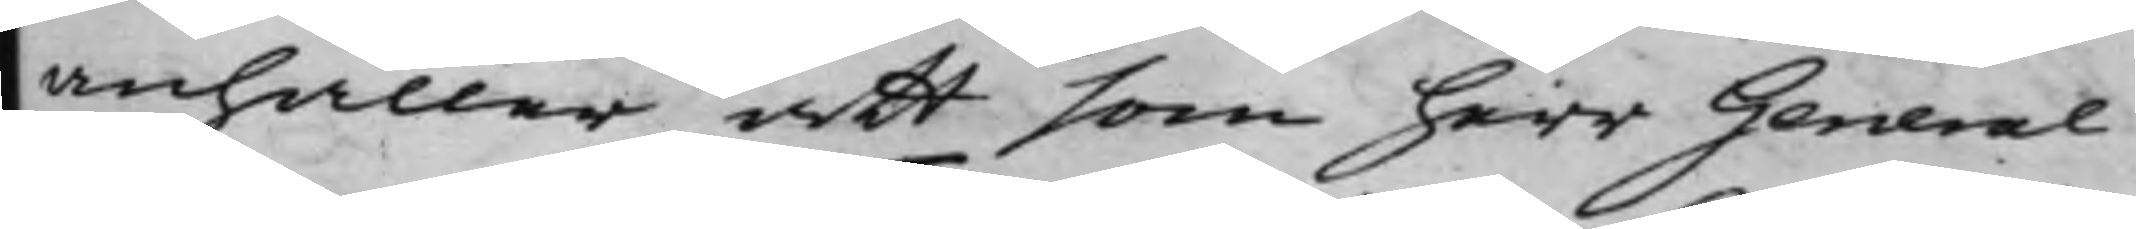anhåller att som herr General¬
